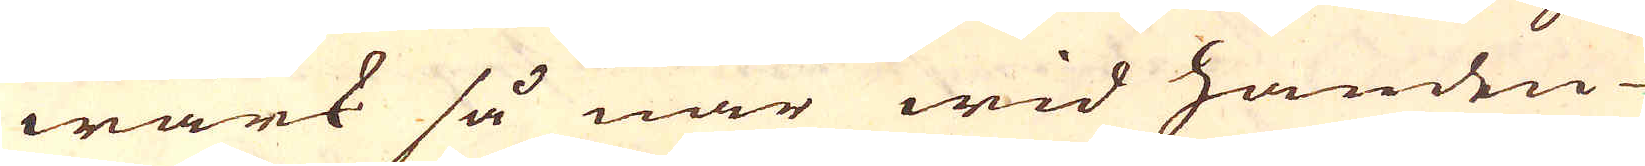wärk så när wid handen
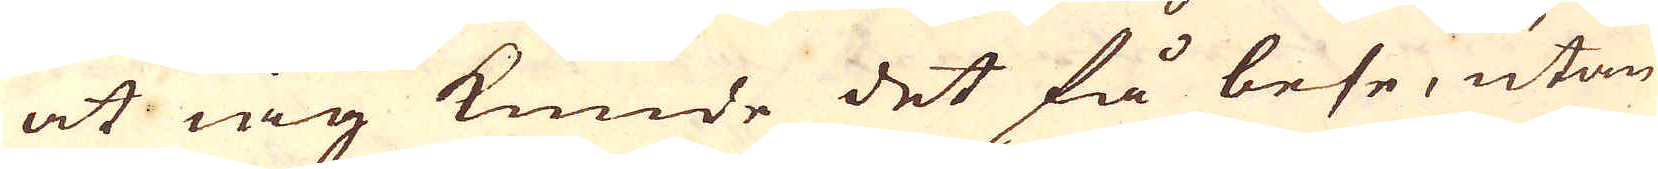at iag kunde det få bese, utan
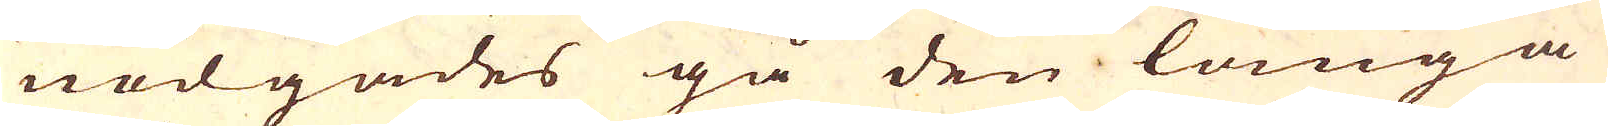nödgades gå den långa
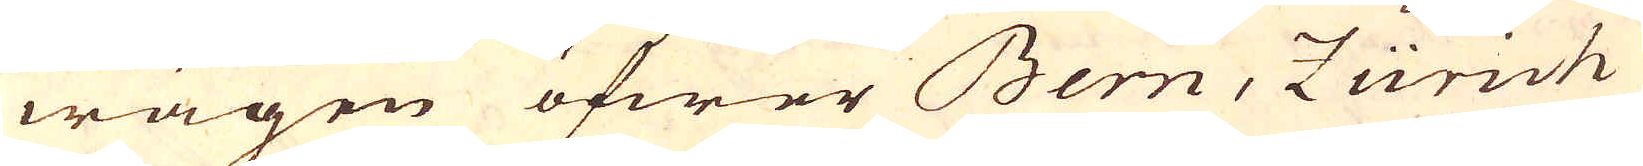wägen öfwer Bern, Zürich
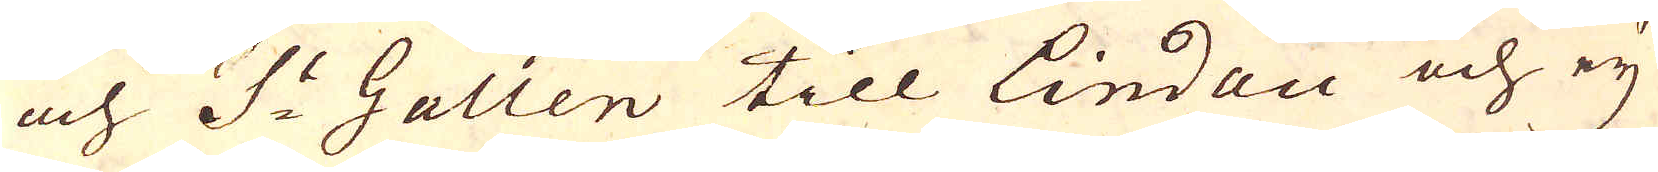och S:t Gallen till Lindau och eij
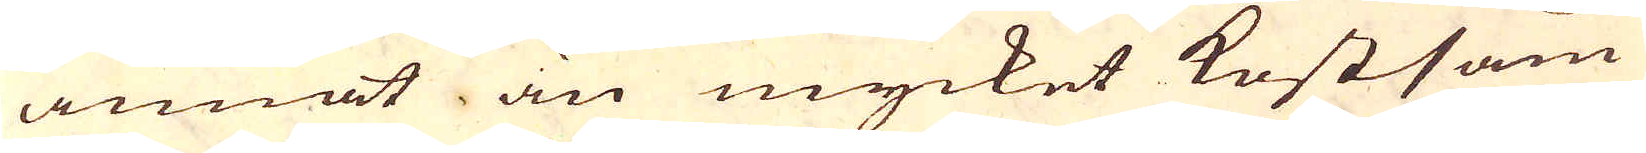annat än mycket kostsam
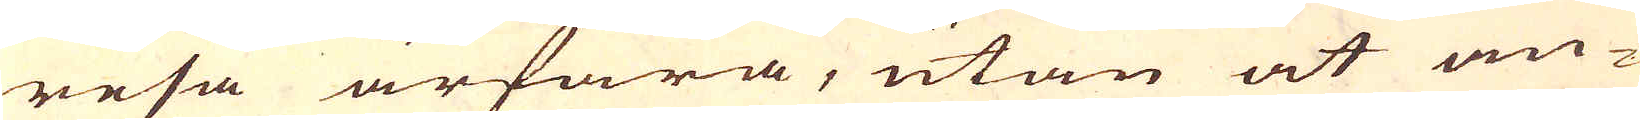resa ärfara, utan at an-
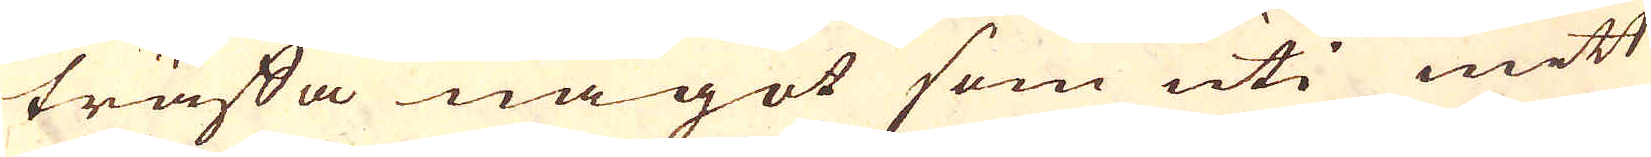träffa något som uti mitt
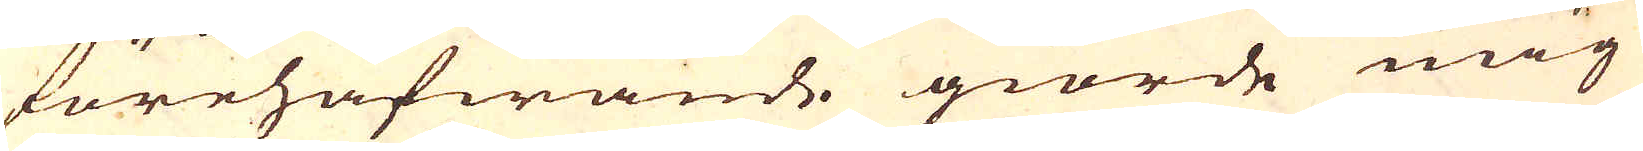förehafwande giorde mig
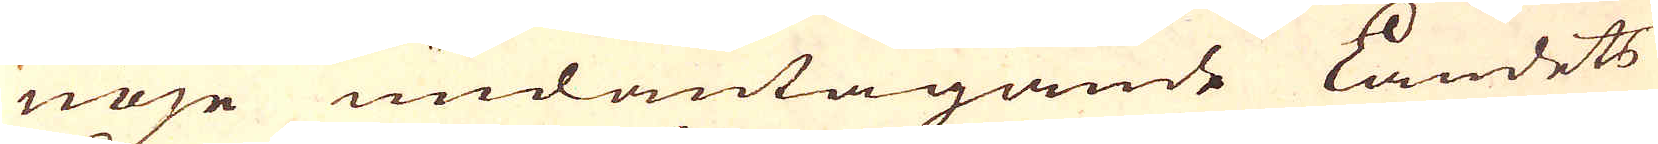nöje undantagande Landets
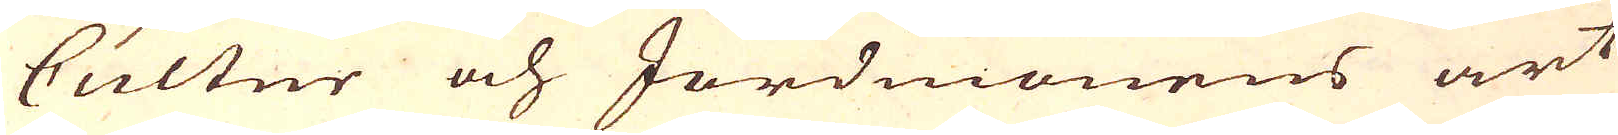Cultur och Jordmonens art
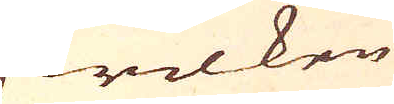hwilken
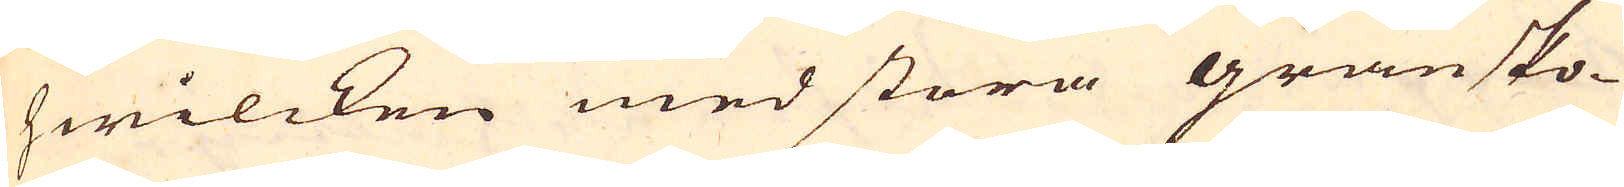hwilcken med stora gransko-
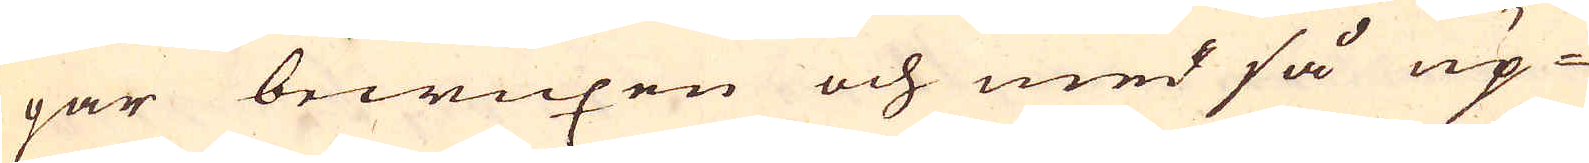gar bewuxen och med så up-
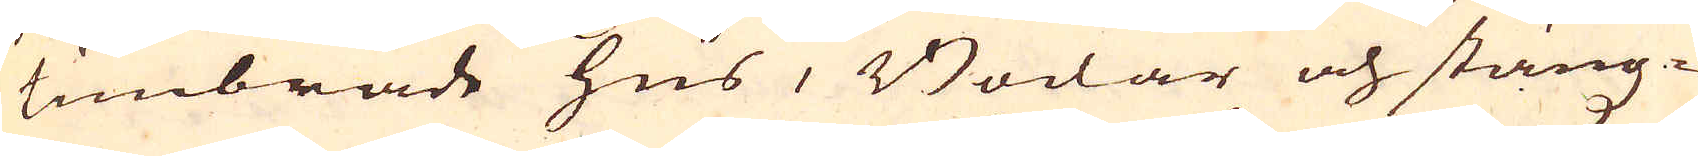timbrade hus, Bodar och stängz-
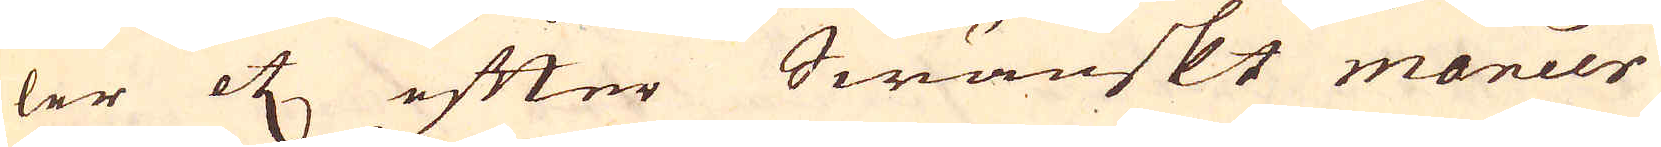ler etc efter Swänskt maneer
